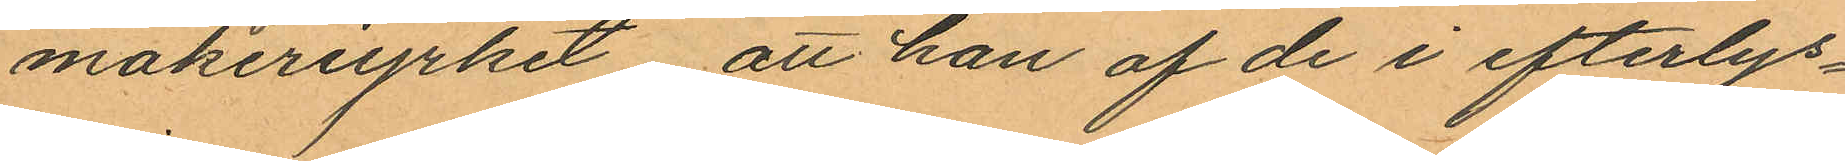makeriyrket att han af de i efterlys¬
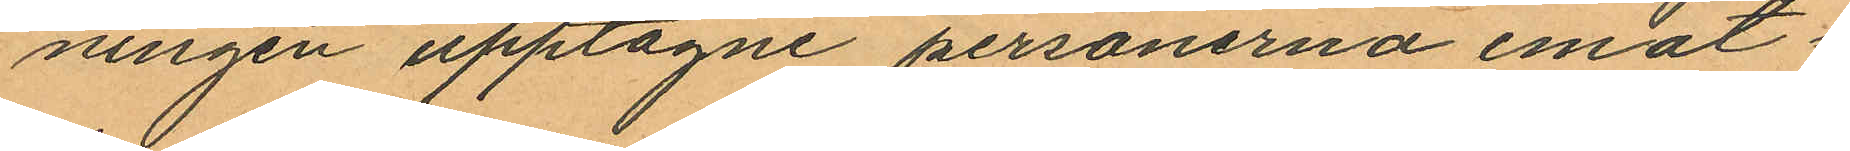ningen upptagne personerna emot¬
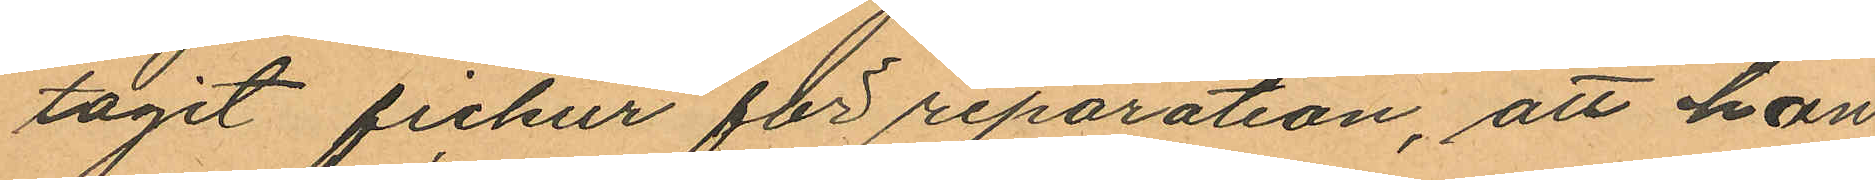tagit fickur för reparation, att han
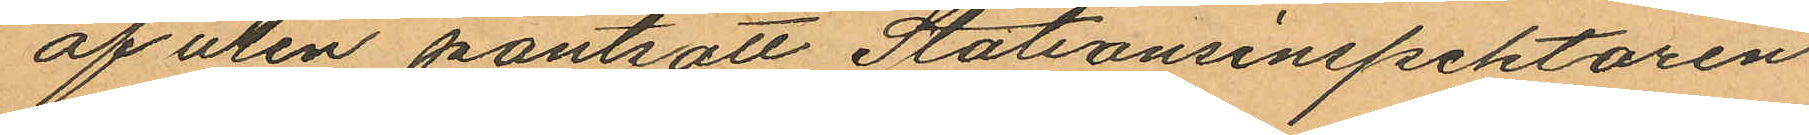af uren pantsatt Stationsinspektoren
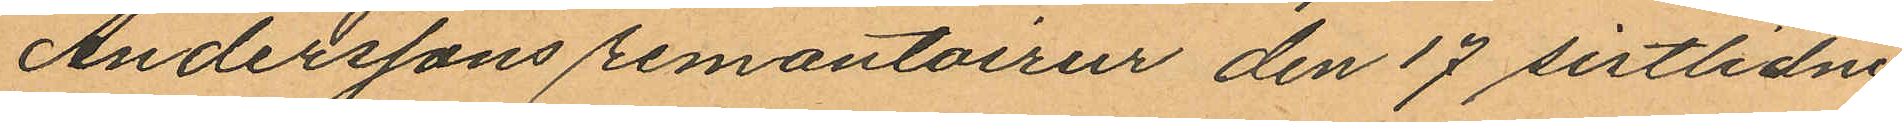Anderssons remantoirur den 17 sistlidne
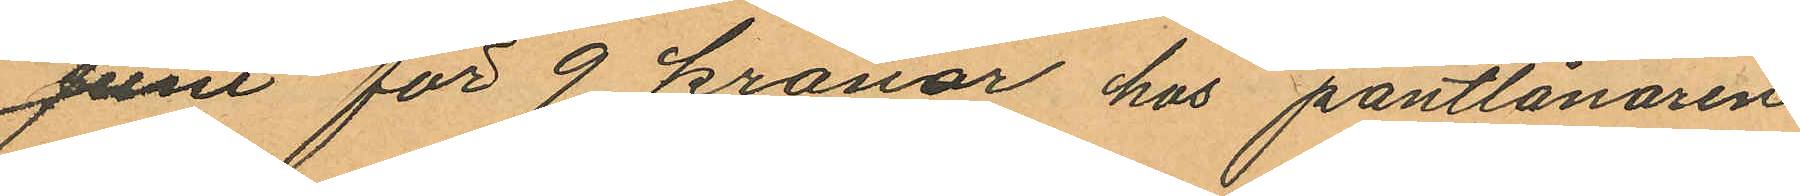Juni för 9 kronor hos pantlånaren
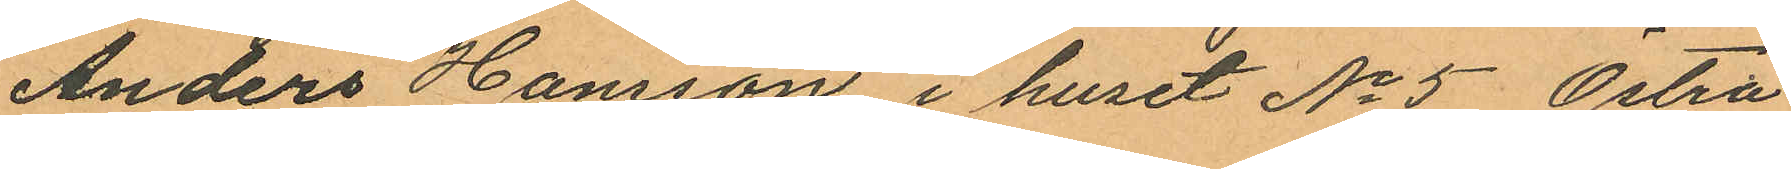Anders Hansson i huset No 5 Östra
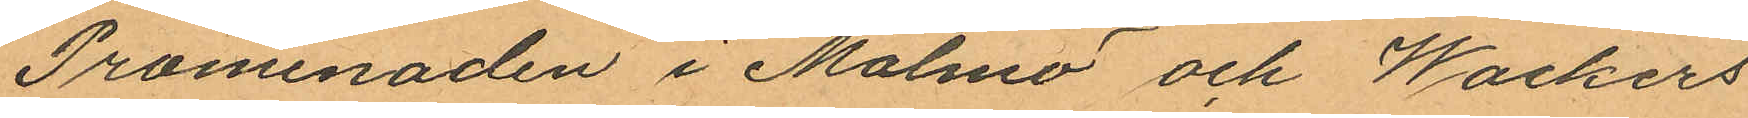Promenaden i Malmö och Wackers
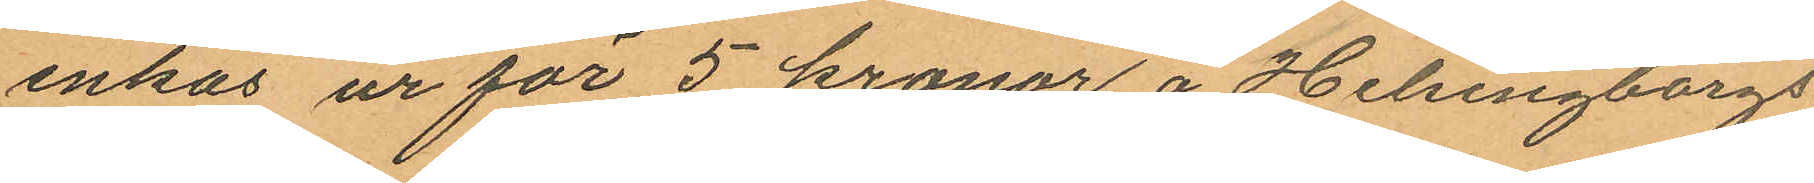enkas ur för 5 kronor å Helsingborgs
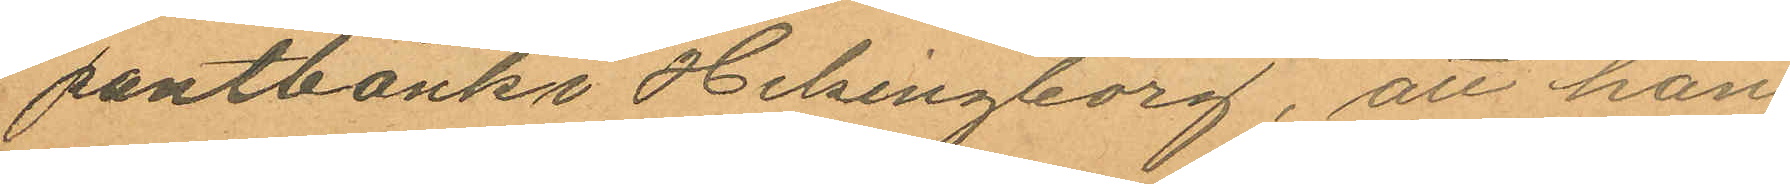pantbank i Helsingborg, att han
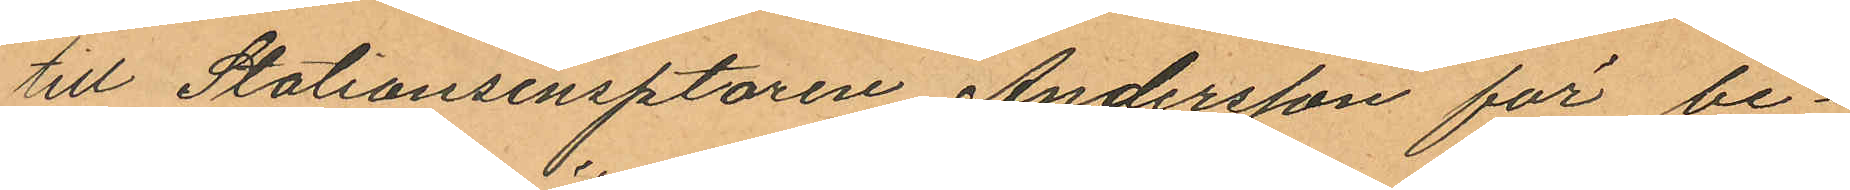till Stationsinspektoren Andersson för be¬
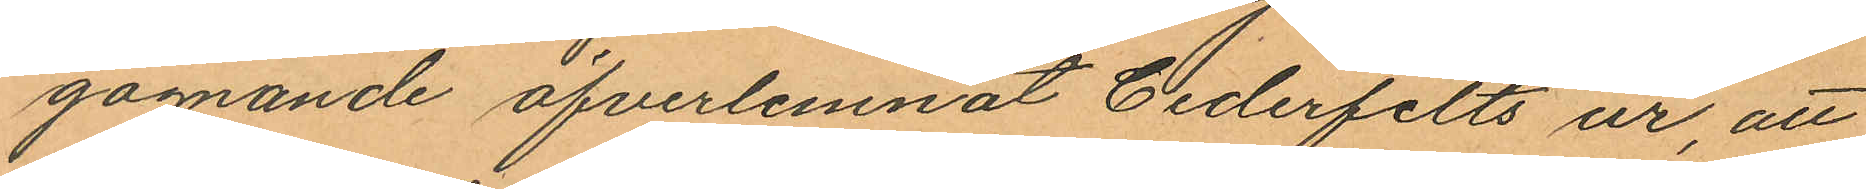gagnande öfverlemnat Cederfelts ur, att
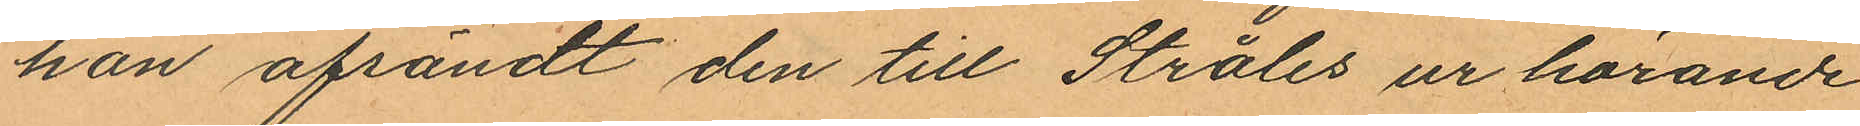han afsändt den till Stråles ur hörande
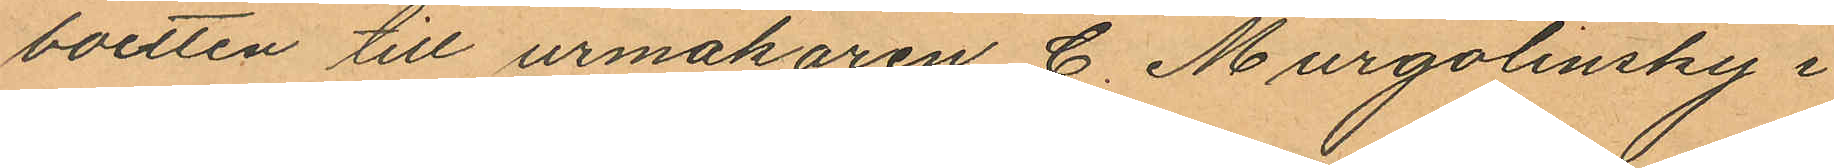boetten till urmakaren C. Murgolinsky i
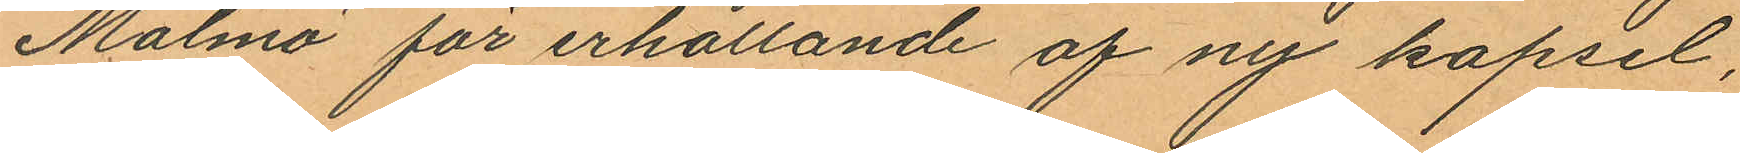Malmö för erhållande af ny kapsel,
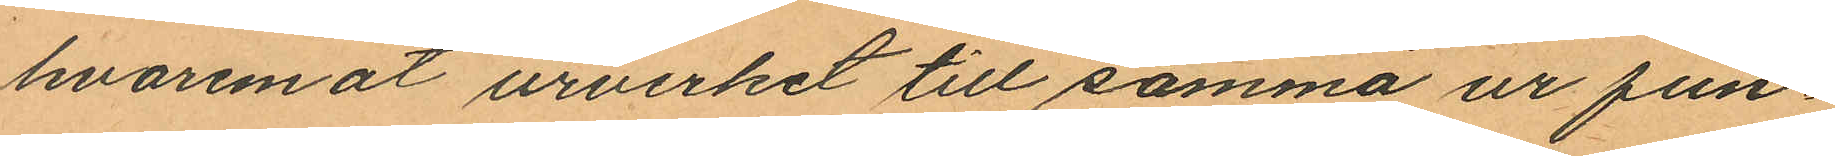hvaremot urverket till samma ur fun¬
